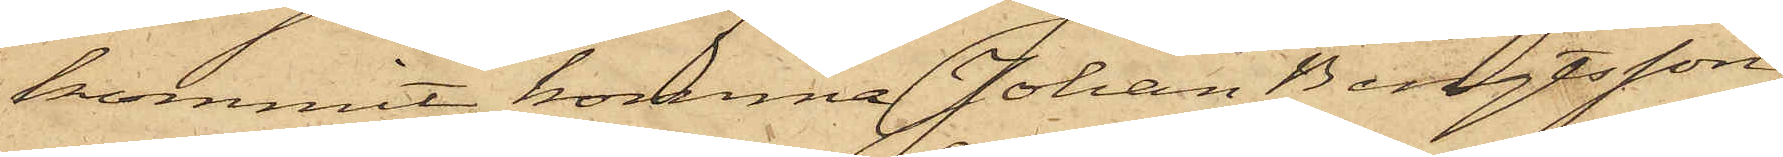kommit, komma Johan Bengtsson,
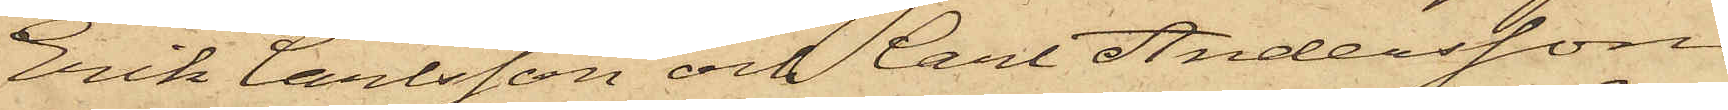Erik Carlsson och Carl Andersson
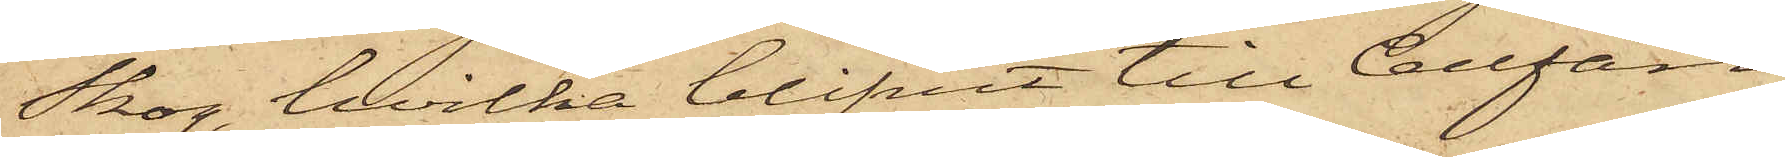Skog, hvilka blifvit till Cellfän¬
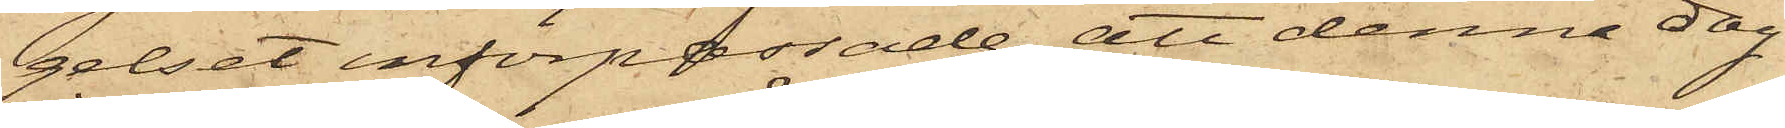gelset införpassade, att denna dag
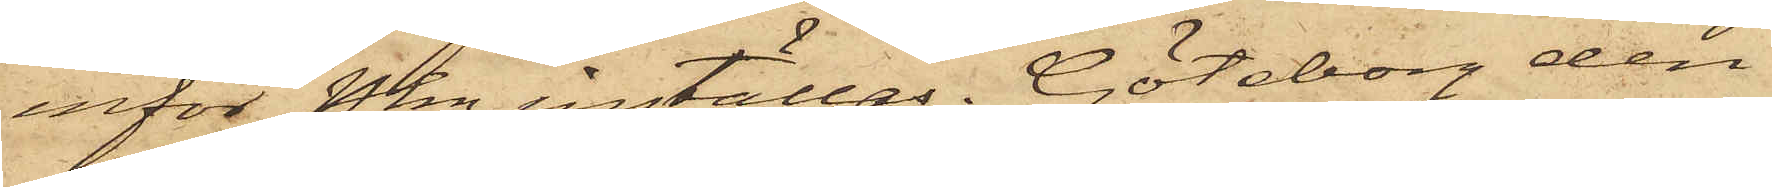inför Pkn inställas. Göteborg den
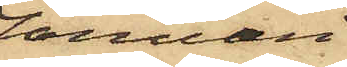Januari
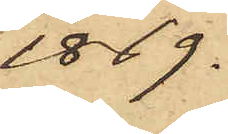1869.
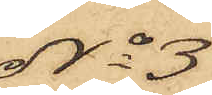No 3
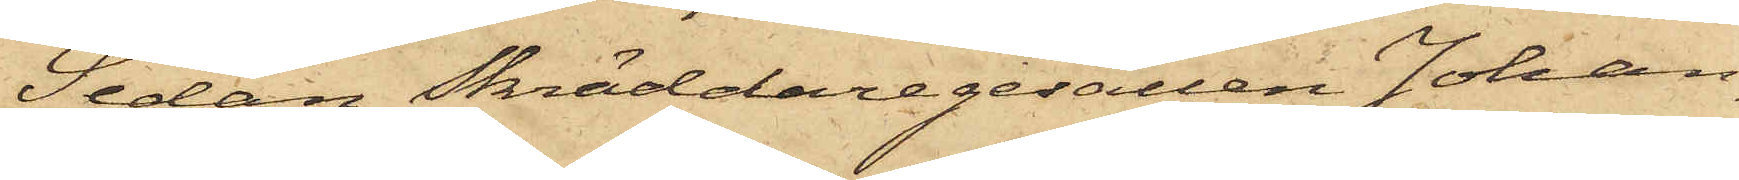Sedan Skräddaregesällen Johan
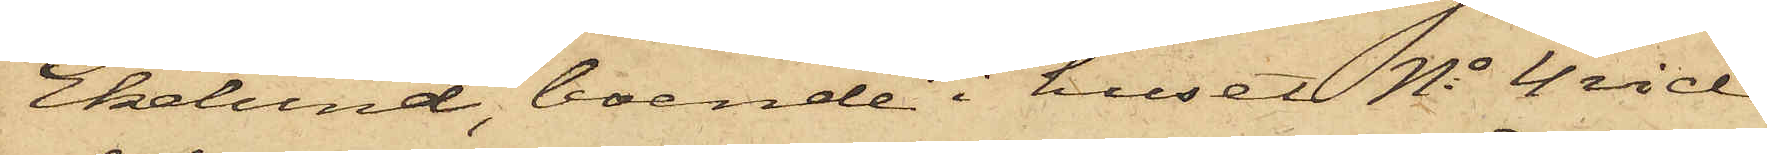Ekelund, boende i huset No 4 vid
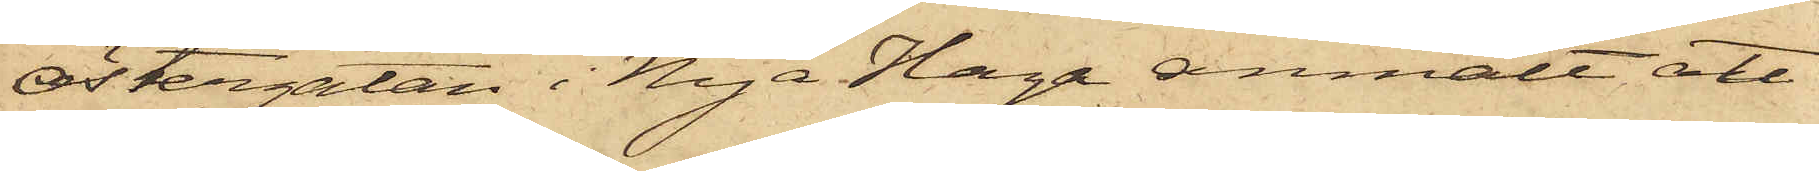Östergatan i Nya Haga anmält att
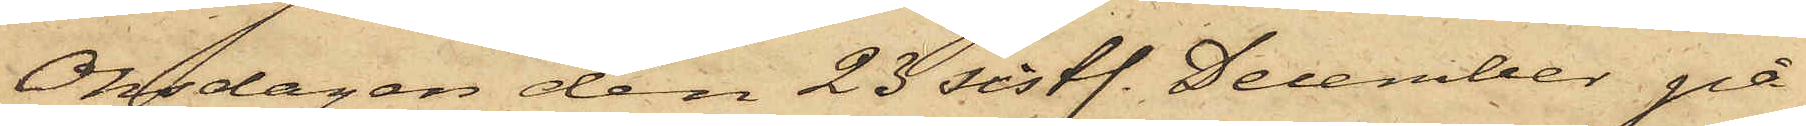Onsdagen den 23 sistl. December på
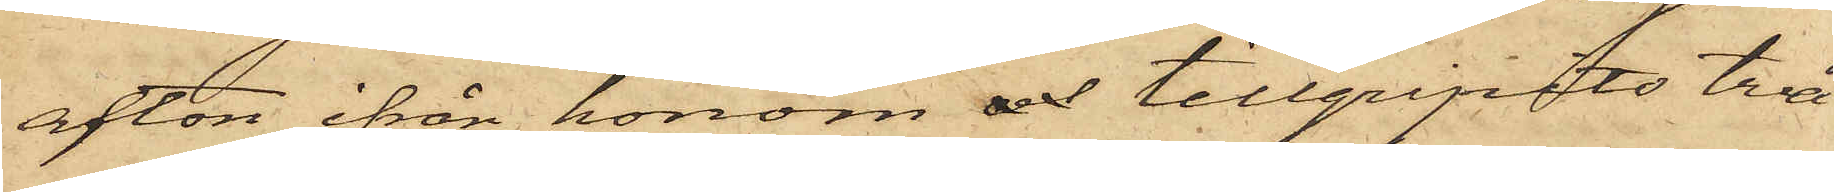afton ifrån honom och tillgripits tre
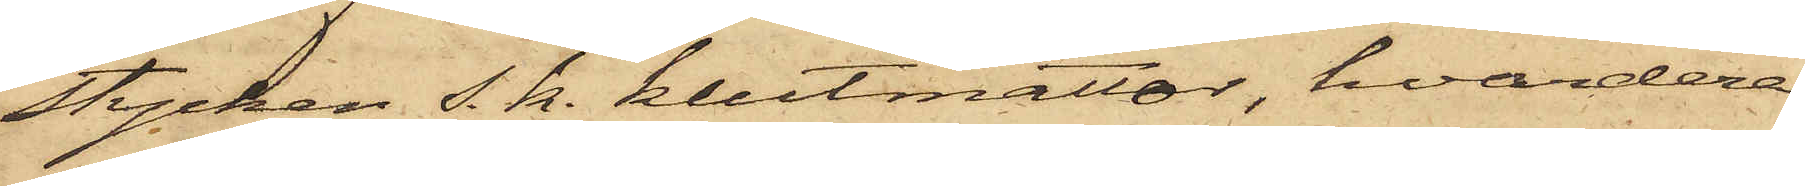stycken s. k. klutmattor, hvardera
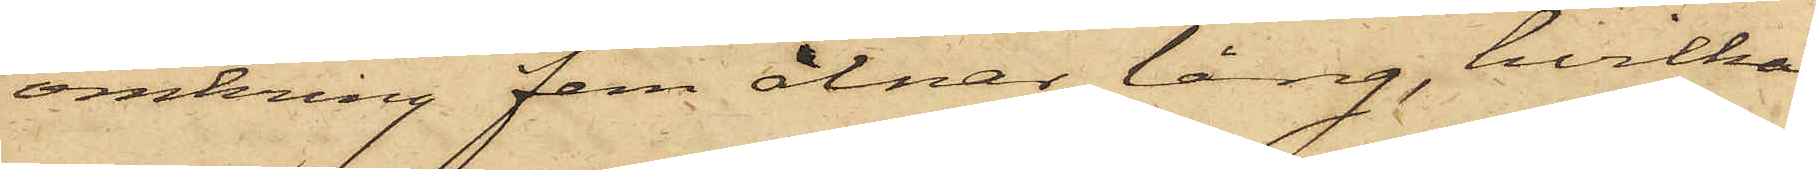omkring fem alnar lång, hvilka
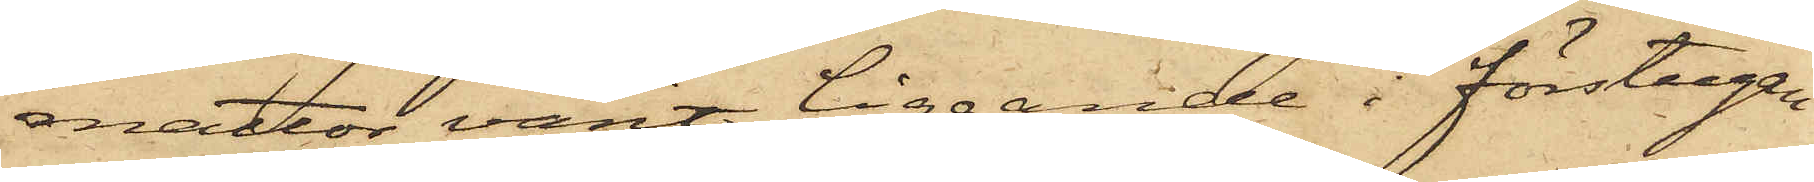mattor varit liggande i förstugan
